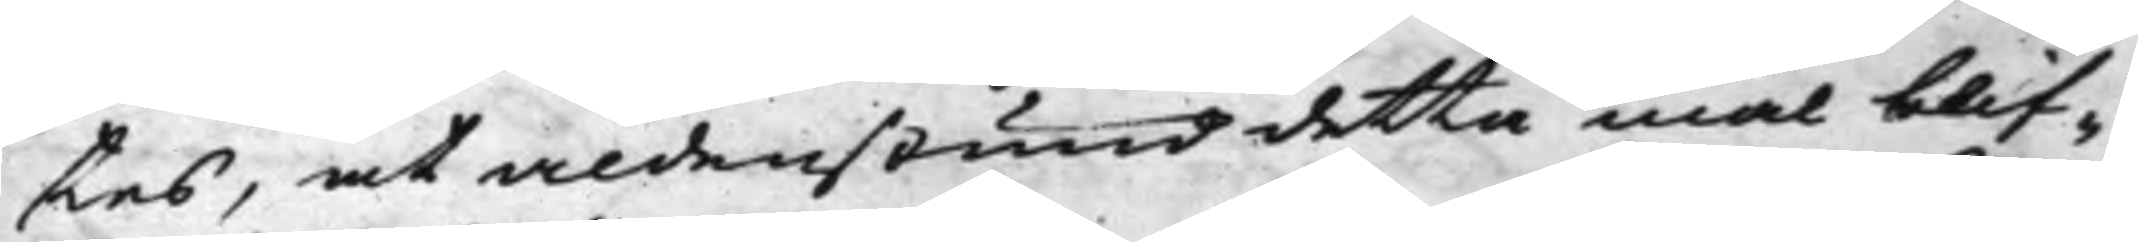tes, at aldenstund detta mål blif¬
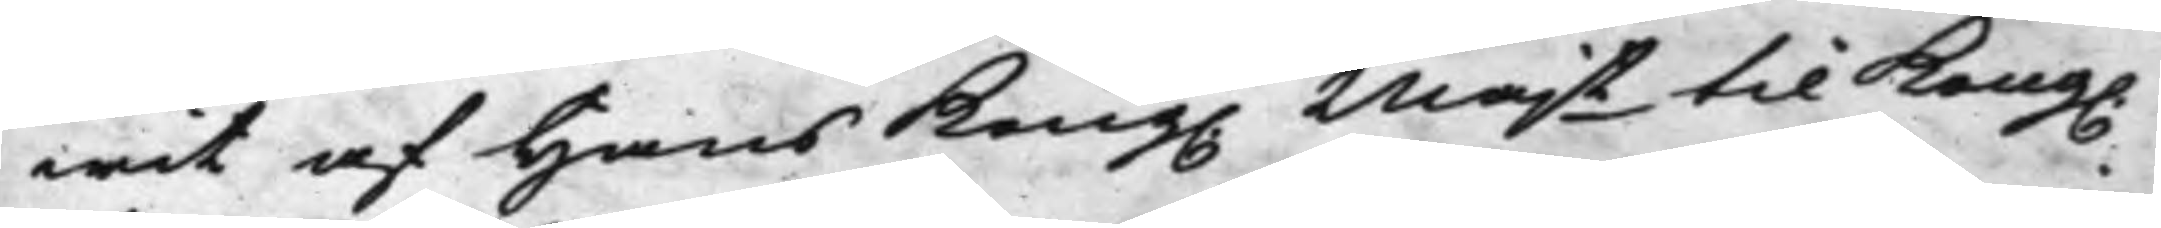wit af Hans Kong. Majt til Kong.
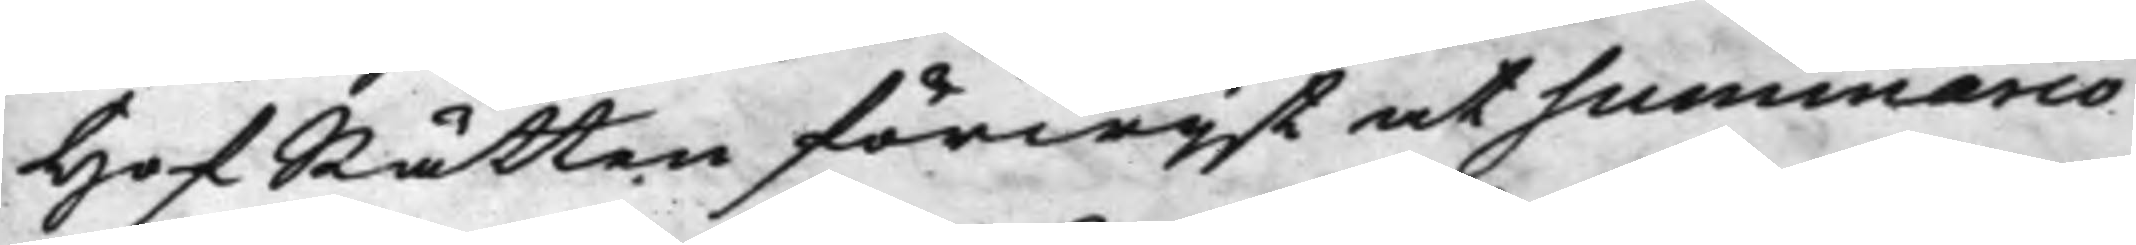HofRätten förwijst at summario
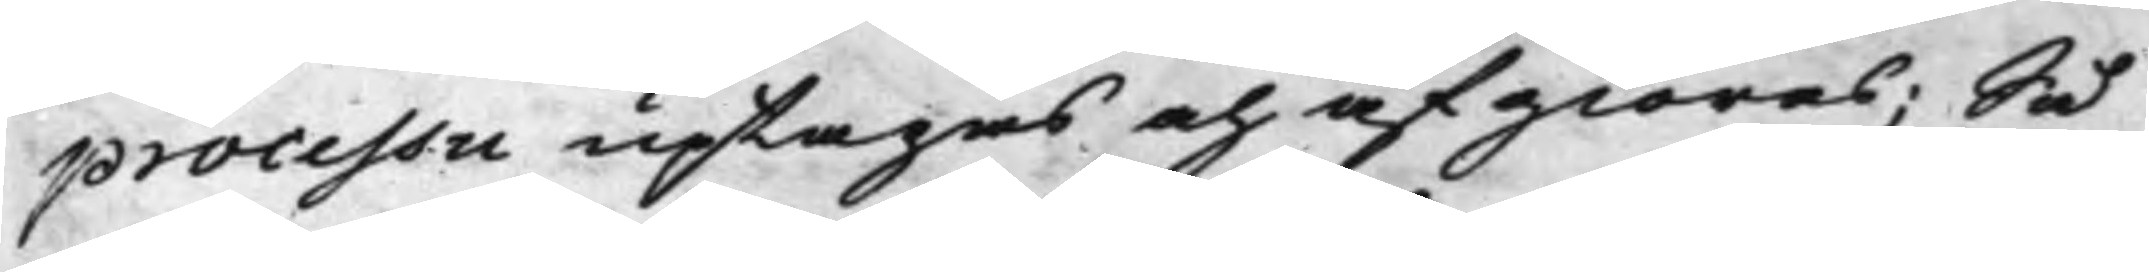processu uptagas och afgiöras; Så
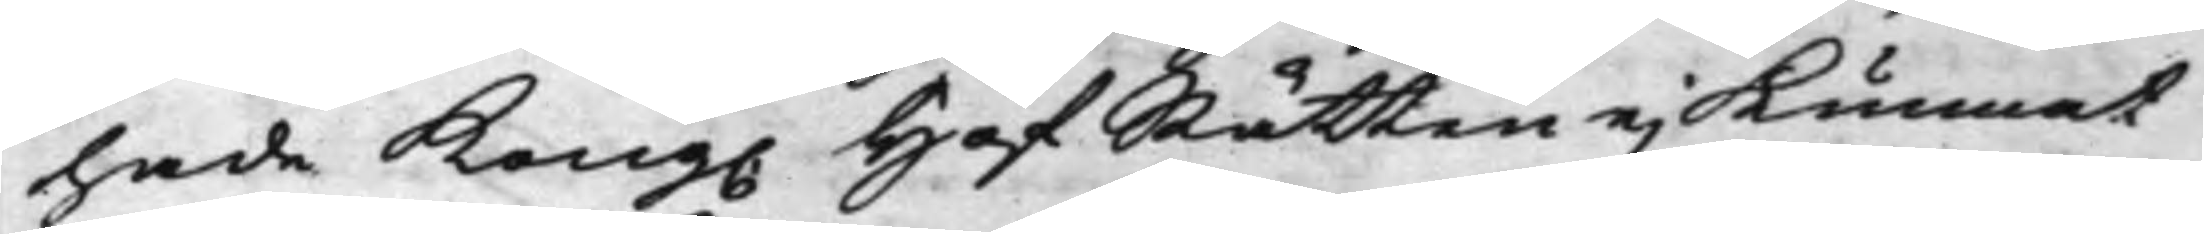hade Kong. HofRätten ej Kunnat
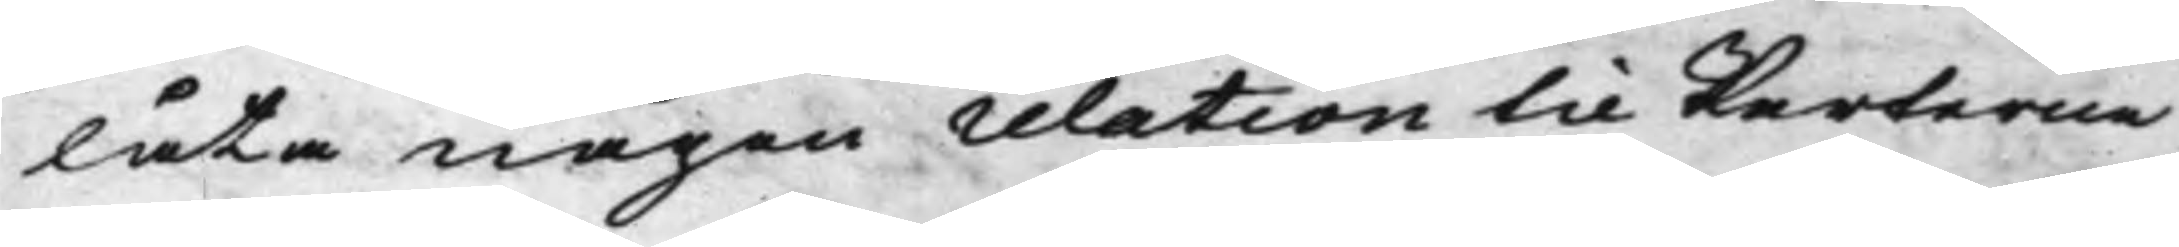låta någon relation til Parterne
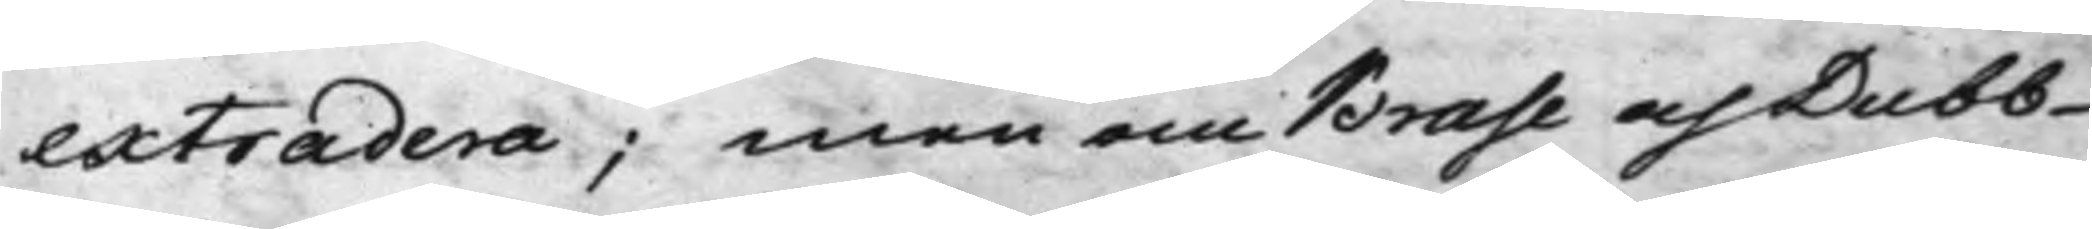extradera; men om Brase och Dubb
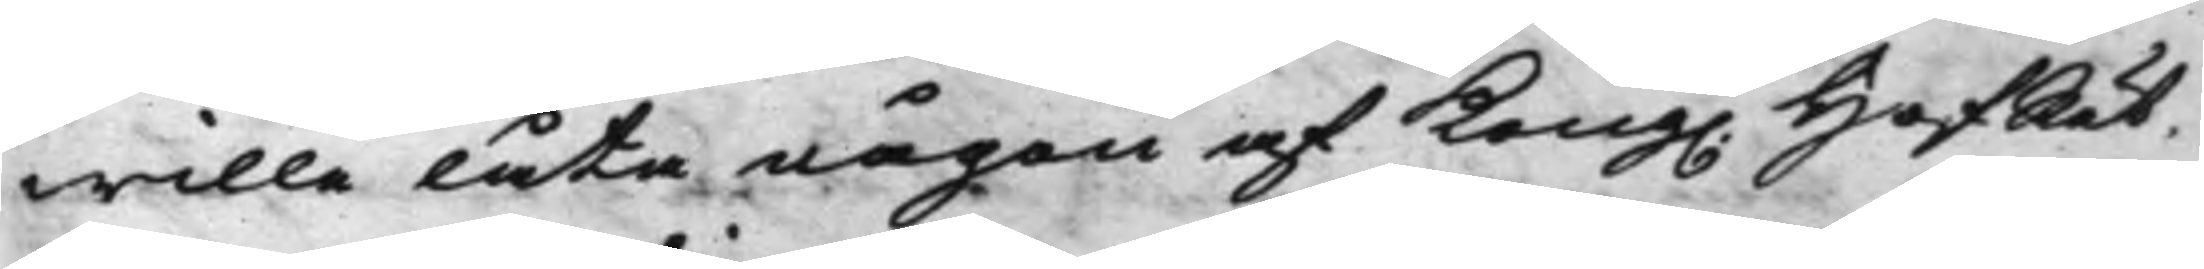wille låta någon af Kong. HofRät¬
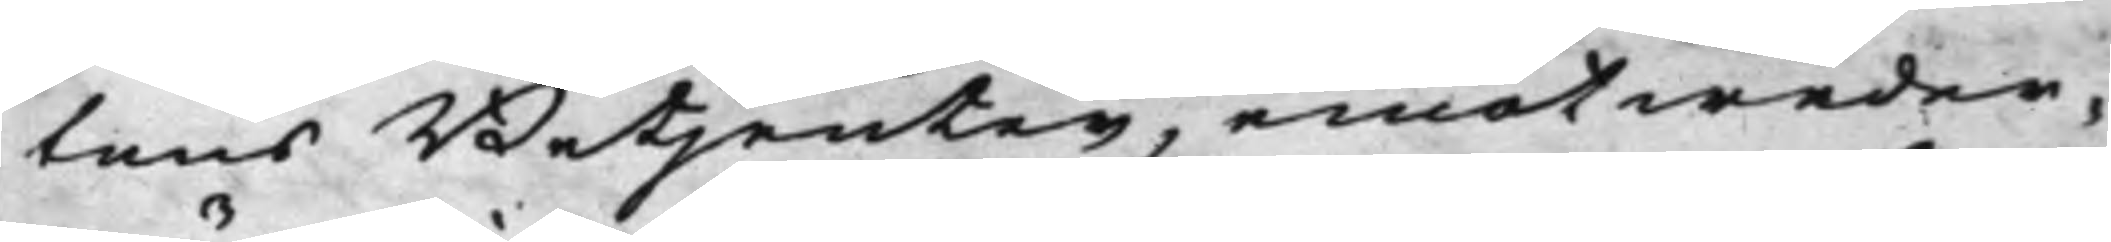tens Betjenter, emot weder¬
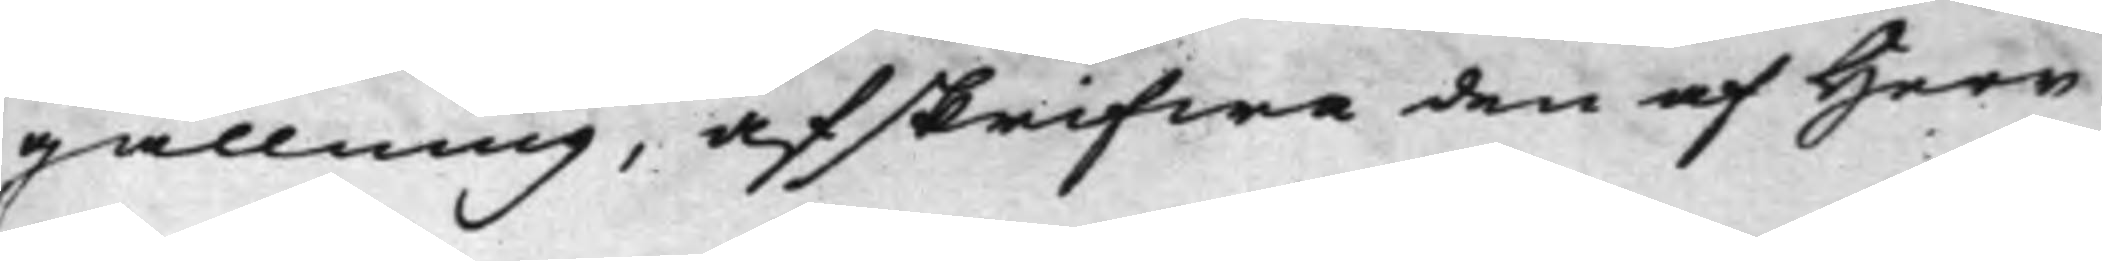gällning, afskrifwa den af Herr
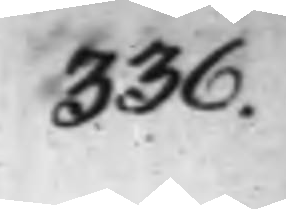336.
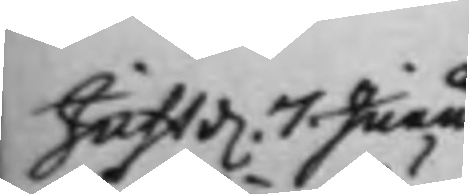Just d. 7 Junii
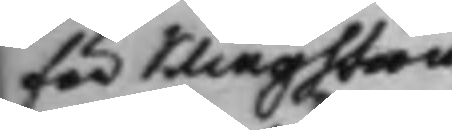för Klingström
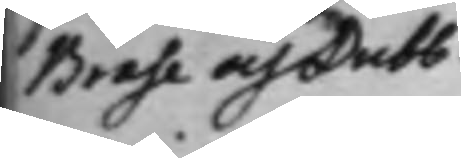Brase och Dubb.
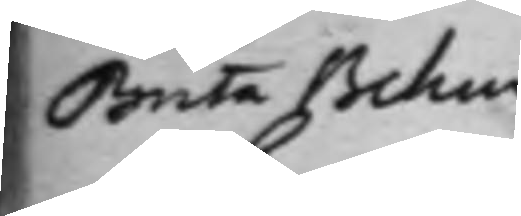Brita Behm
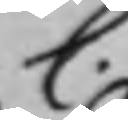C.
